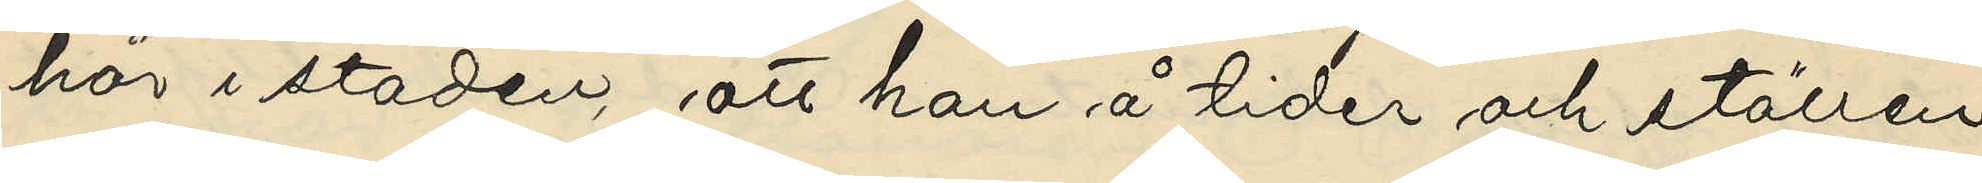här i staden, att hon å tider och ställen
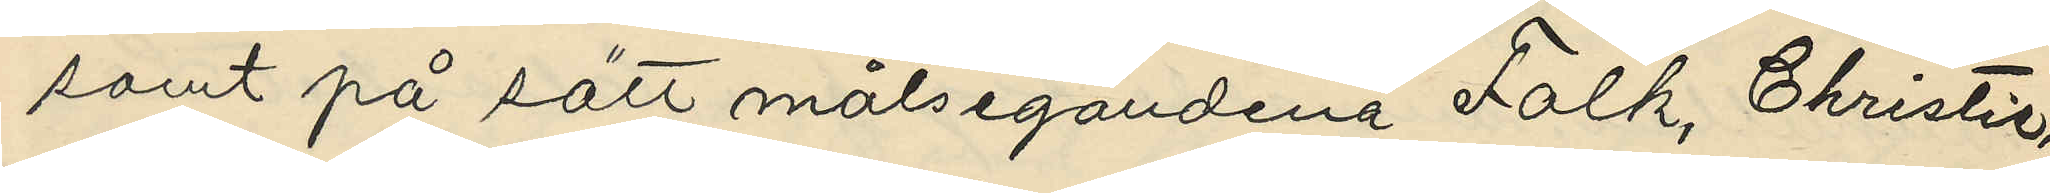samt på sätt målsegandena Falk, Christie,
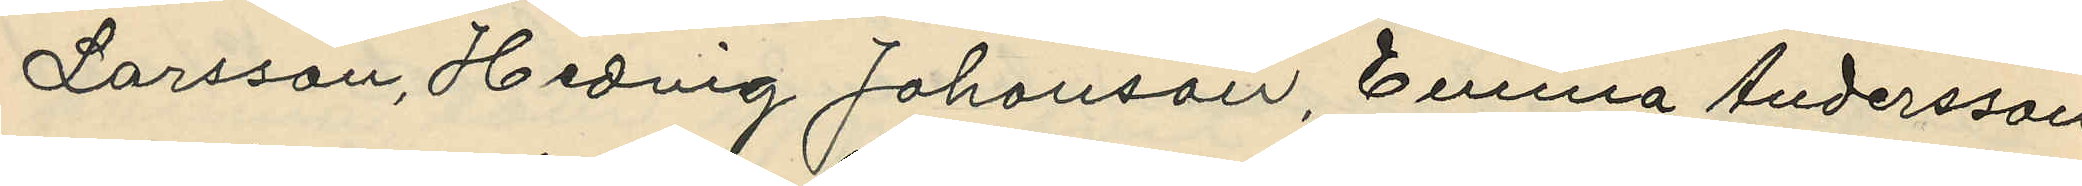Larsson, Hedvig Johanson, Emna Andersson
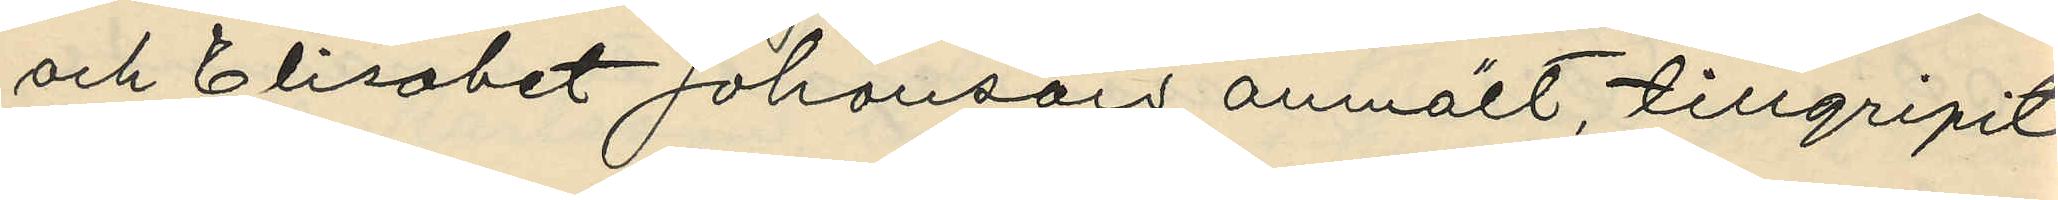och Elisabet Johansons anmält, tillgripit
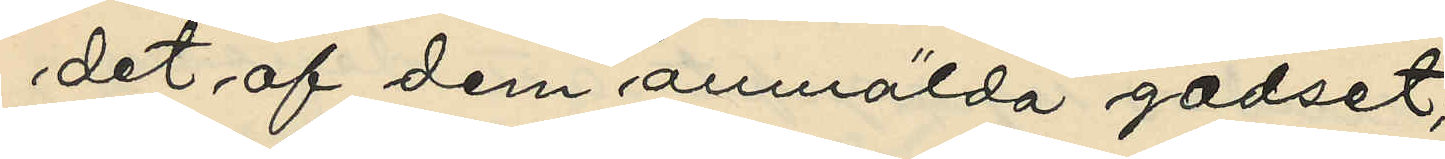det af dem anmälda godset;
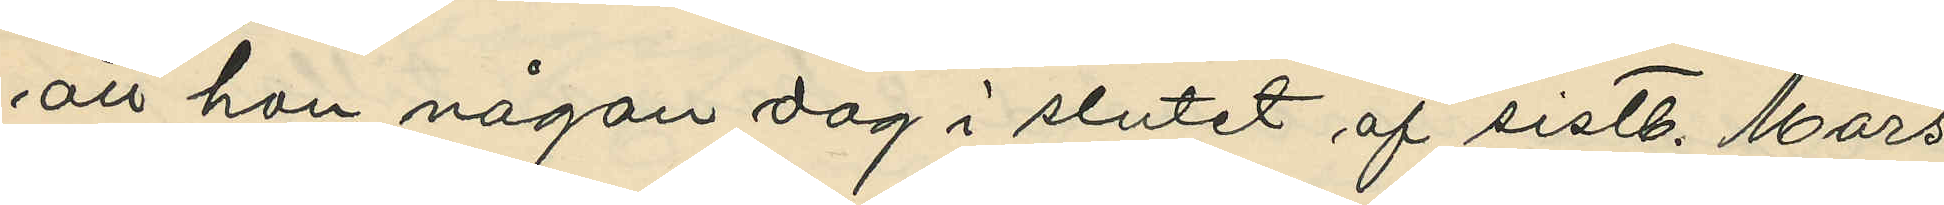att hon någon dag i slutet af sistl. Mars
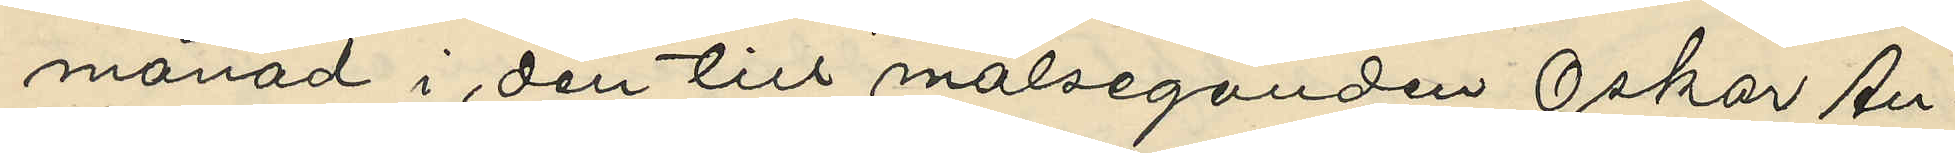månad i den till målseganden Oskar An¬
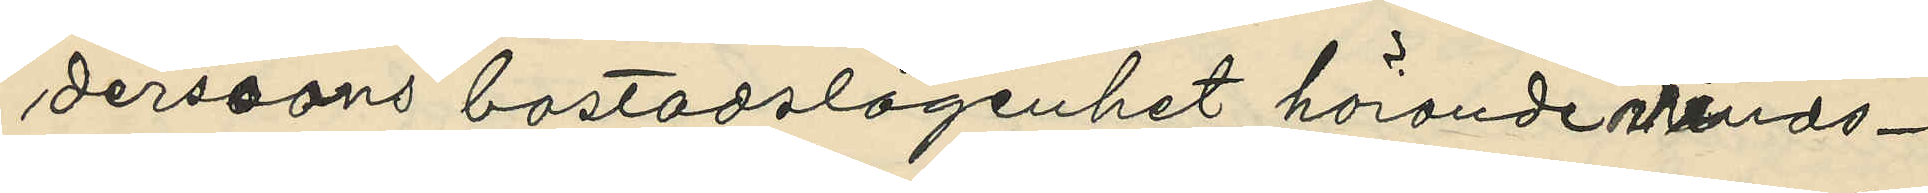derssons bostadslägenhet hörande vinds¬
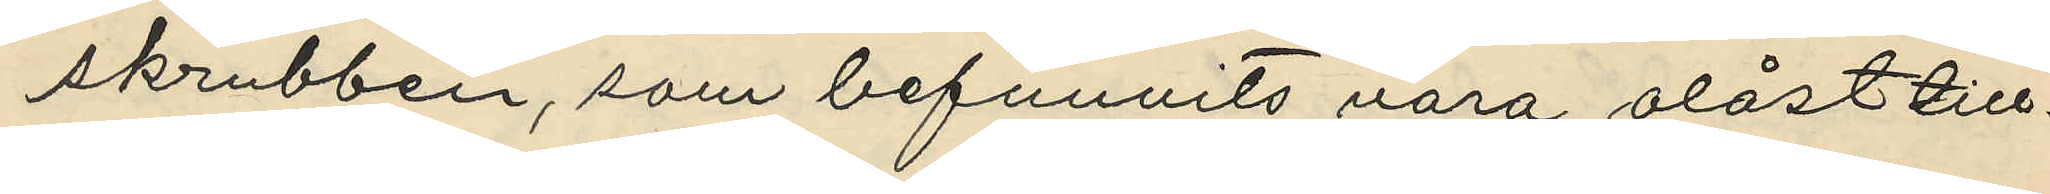skrubben, som befunnits vara olåst till¬
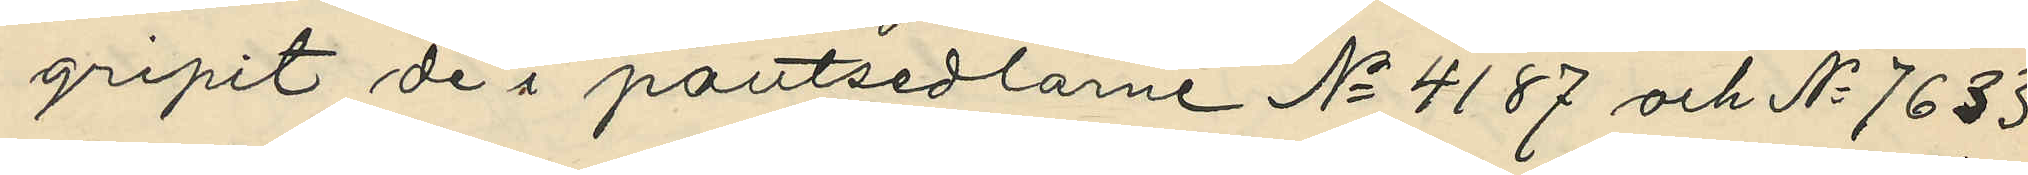gripit de i pantsedlarne No 4187 och No 7633
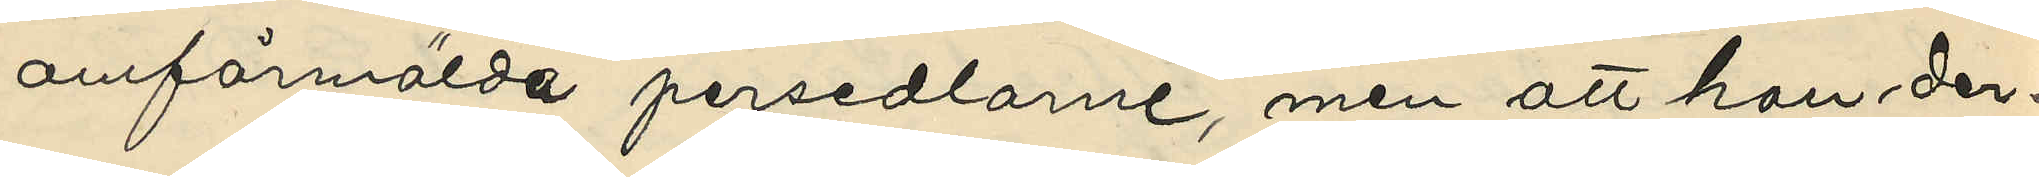omförmälda persedlarne, men att hon der¬
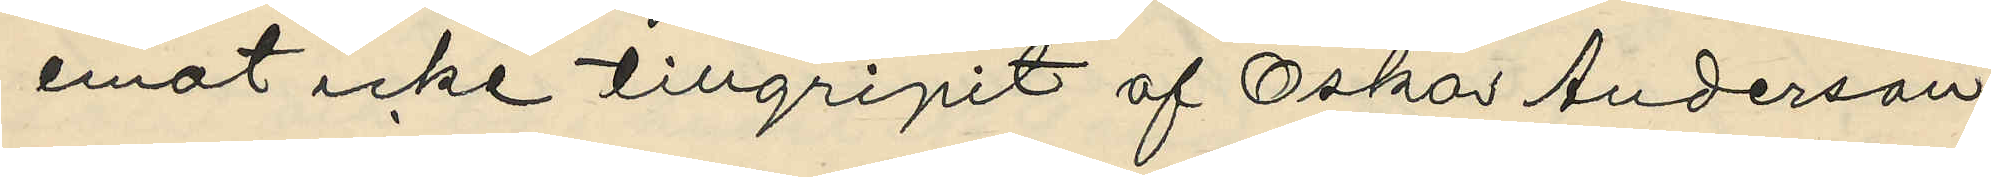emot icke tillgripit af Oskar Anderson
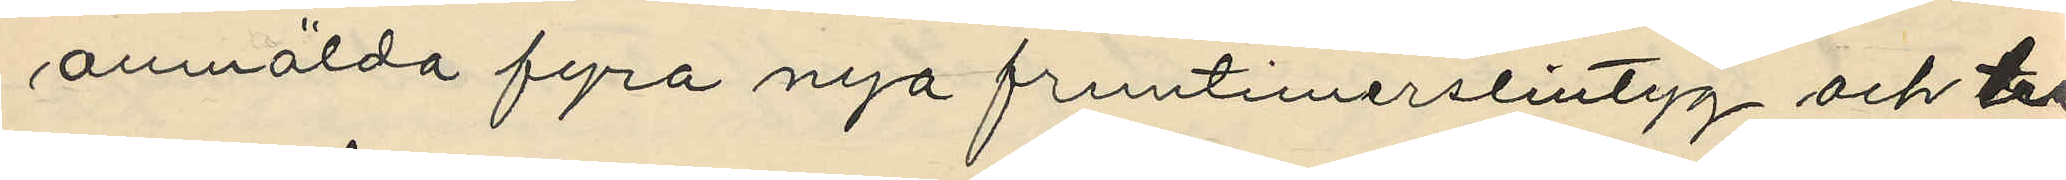anmälda fyra nya fruntimerslintyg och tre
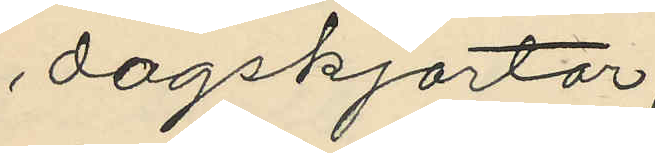dagskjortor;
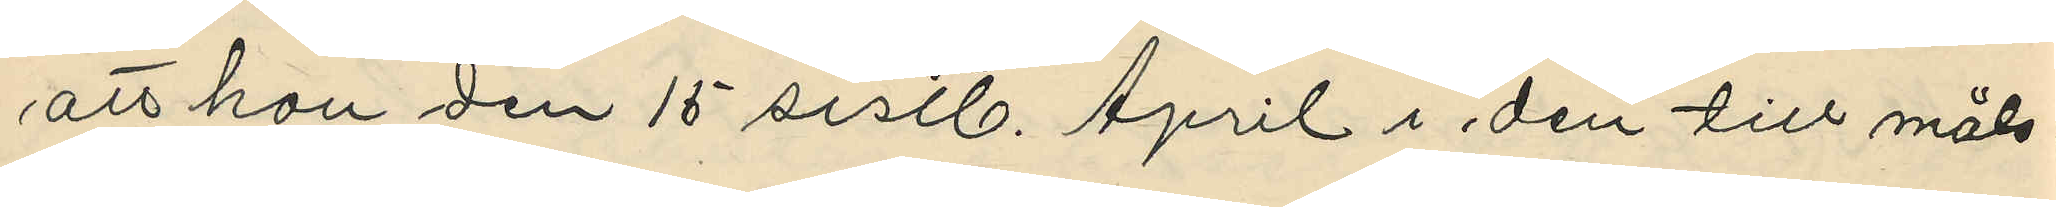att hon den 15 sistl. April i den till måls¬
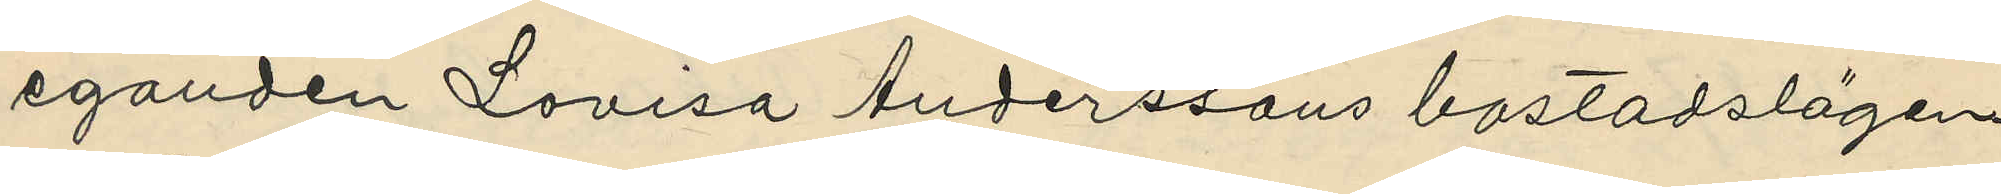eganden Lovisa Anderssons bostadslägen¬
